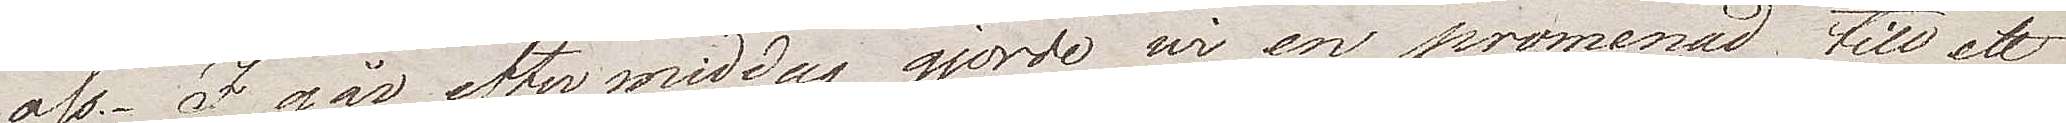oss. I går eftermiddag gjorde wi en promenad till ett
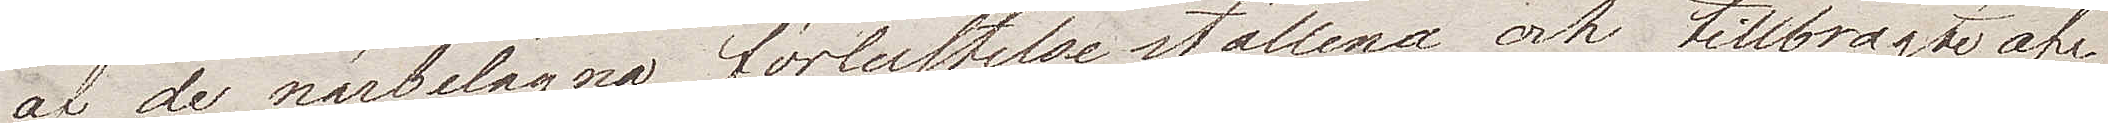af de närbelägna  förlustelseställena och tillbragte af¬
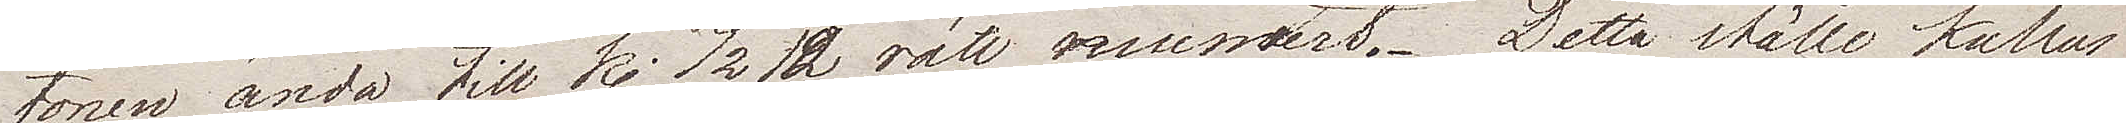tonen ända till Kl. ½12  rätt muntert. Detta ställe kallas
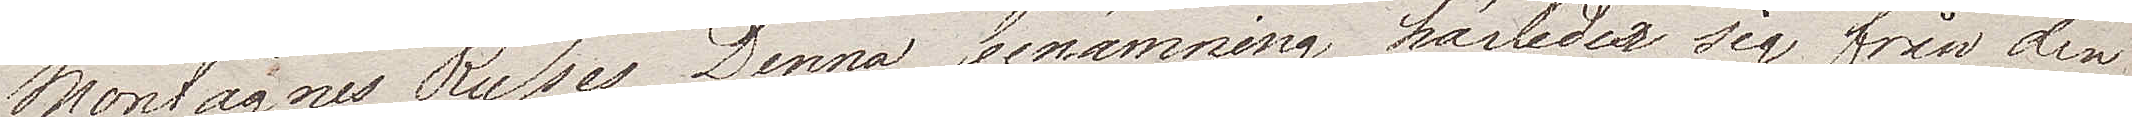Montagnes Russes. Denna benämning härleder sig från den
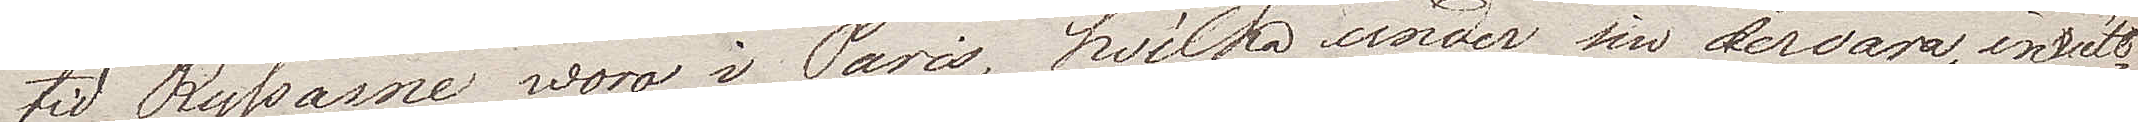tid Ryssarna woro i Paris, hvilka under sin dervaro inrät¬
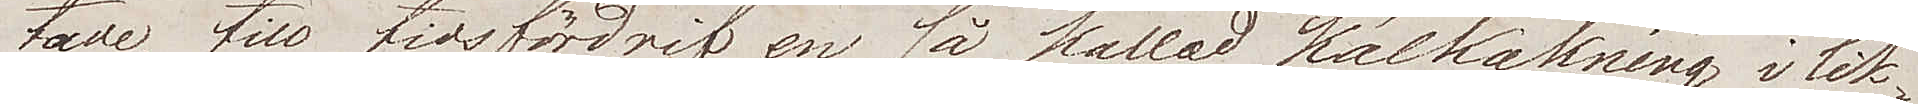tade, till tidsfördrif en så kallad kälkåkning i lik¬
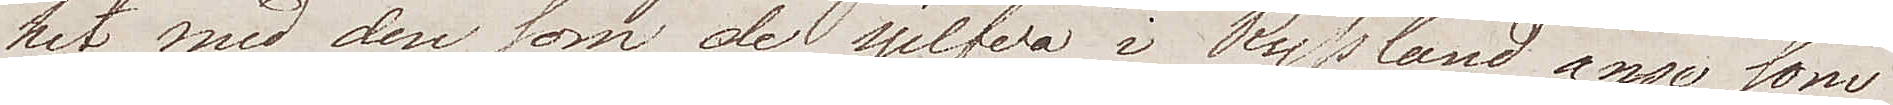het med  den som de sjelfva i Ryssland anse som
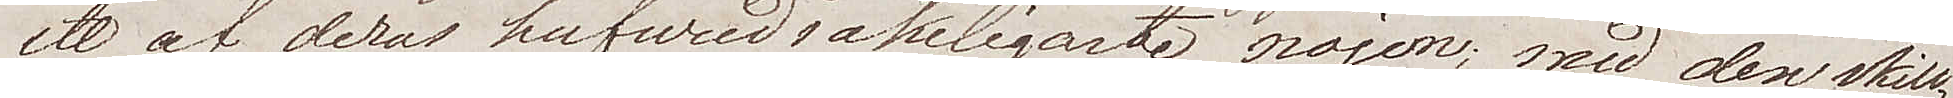ett af deras hufvudsakeligaste nöjen; med den skill¬
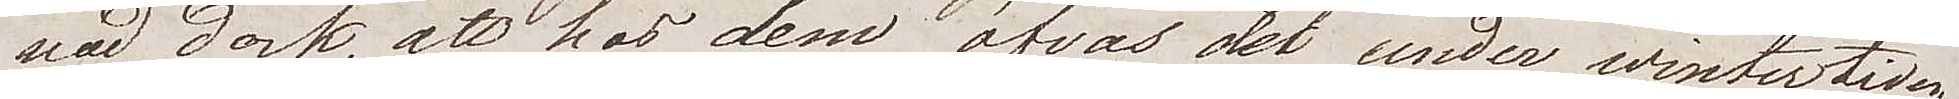nad dock, att hos dem öfvas det under wintertiden
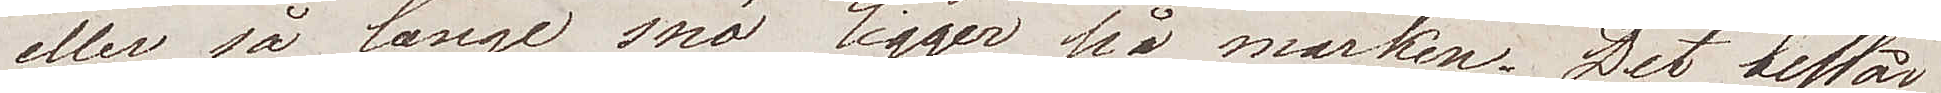eller så länge snö ligger på marken. Det består
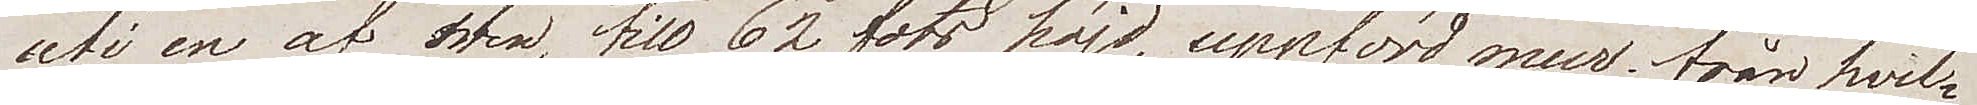uti en af sten, till 62 fots höjd, uppförd mur från hvil¬
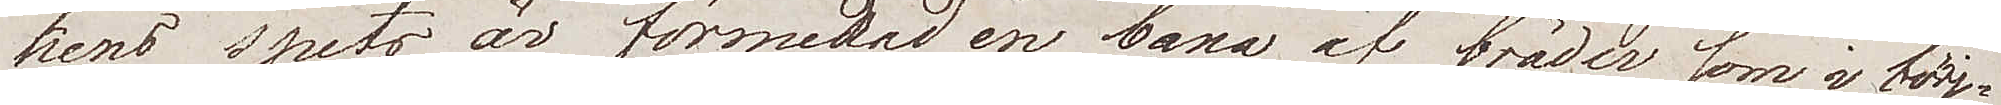kens spets är formerad en bana af bräder som i börj¬
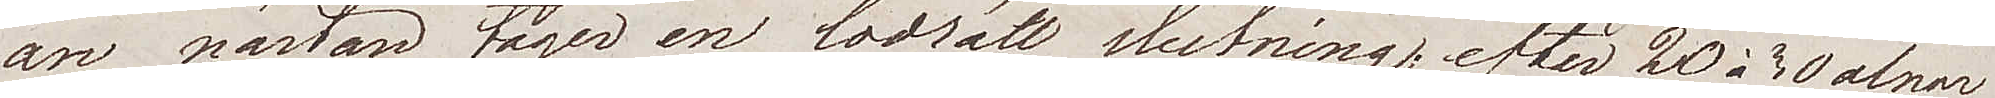an nästan tager en lodrätt slutning, efter 20 à 30 alnar
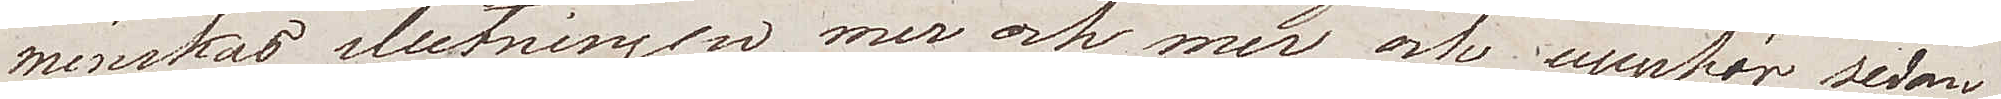minskar slutningen mer och mer och upphör sedan
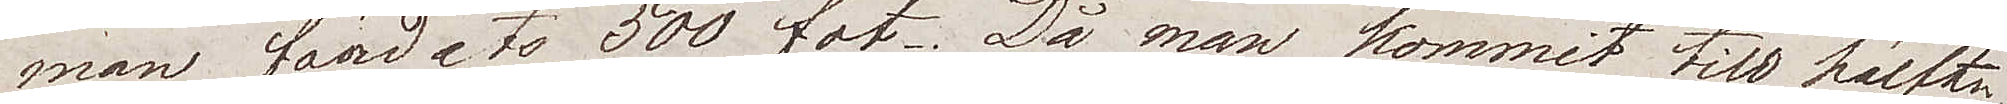man färdats 500 fot. Då man kommit  till hälften
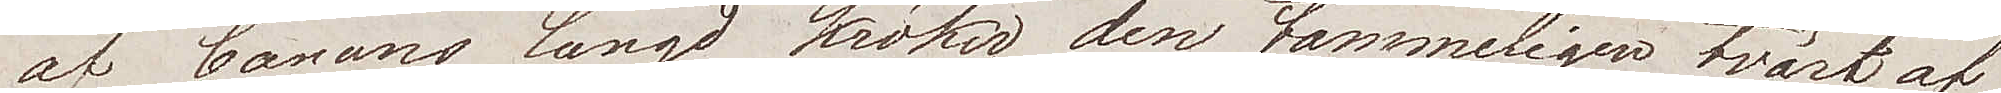av banans längd kröker den tämmeligen tvärt af
